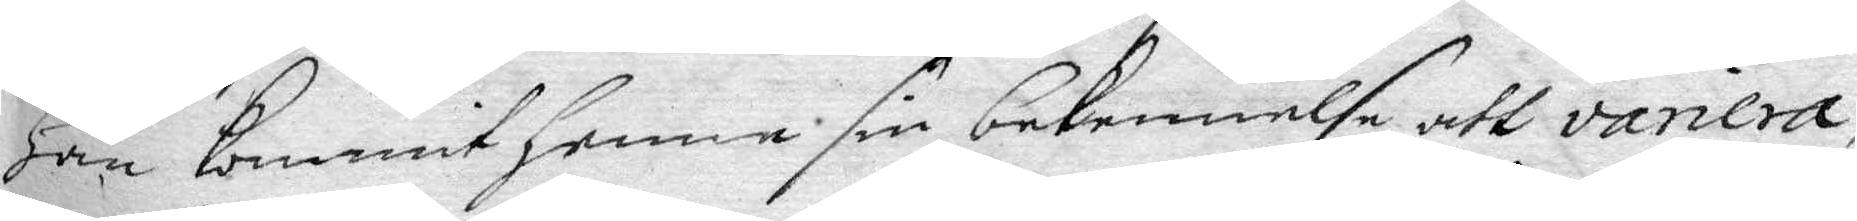Han kommit henne sin bekennelse att variera,
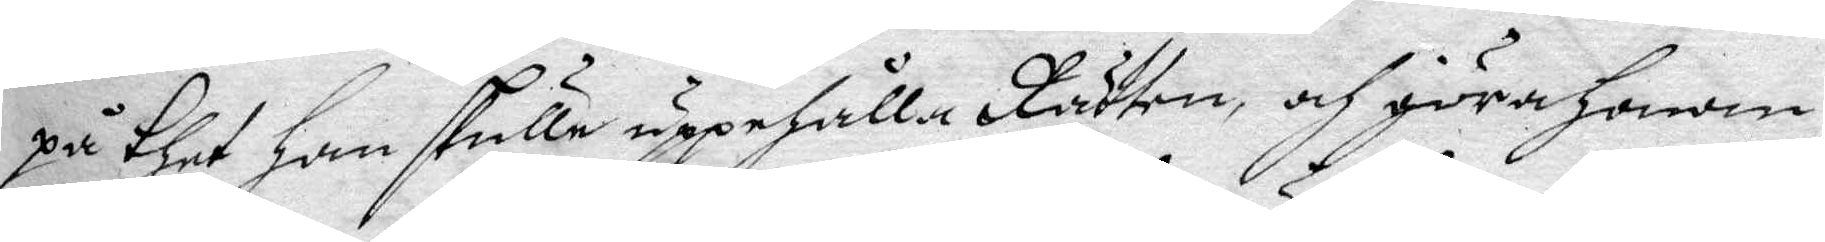på thet han skulle uppehålla Rätten, och göra honom
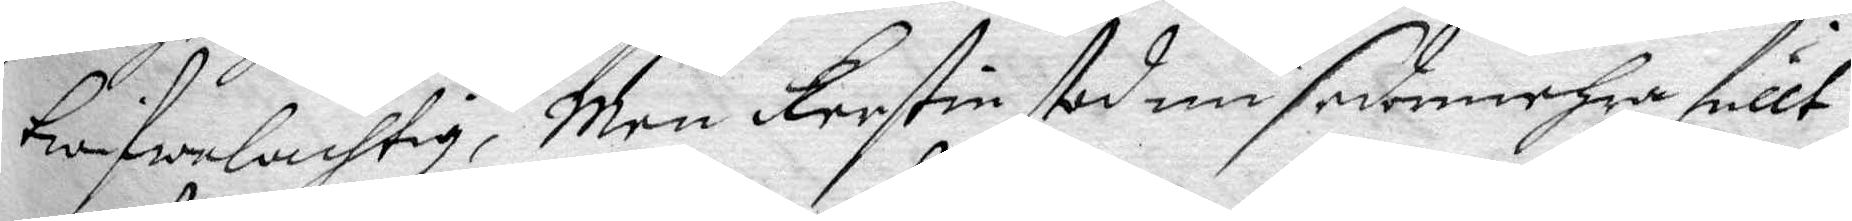twifwelachtig, Men Kerstin stod nu sedermehra fullt
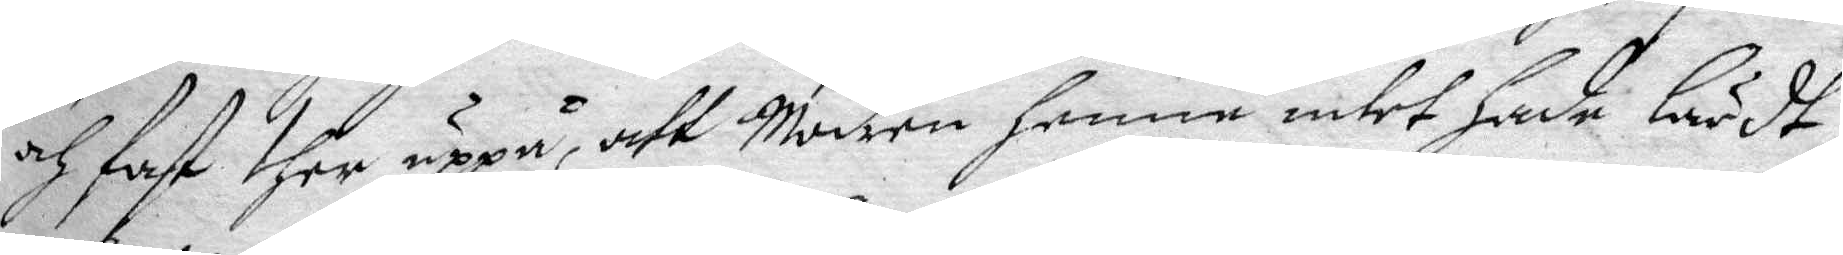och fast ther uppå, att Modren henne intet hade lärdt
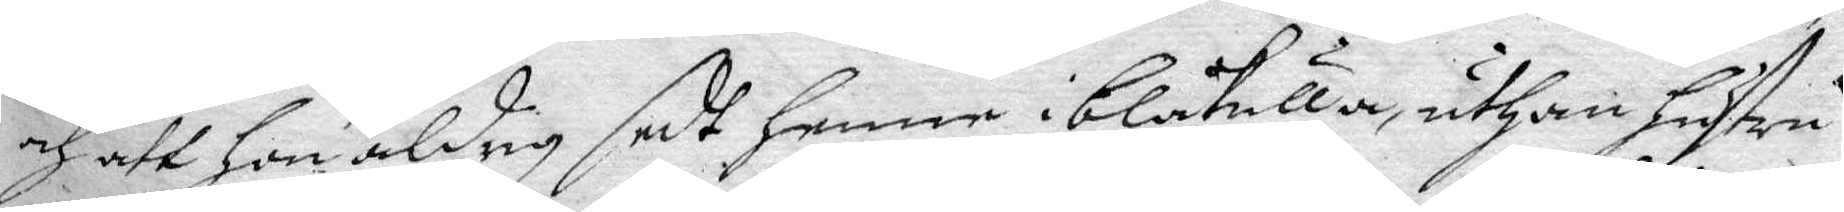och att hon aldrig sedt henne i blåkulla, uthan hustru
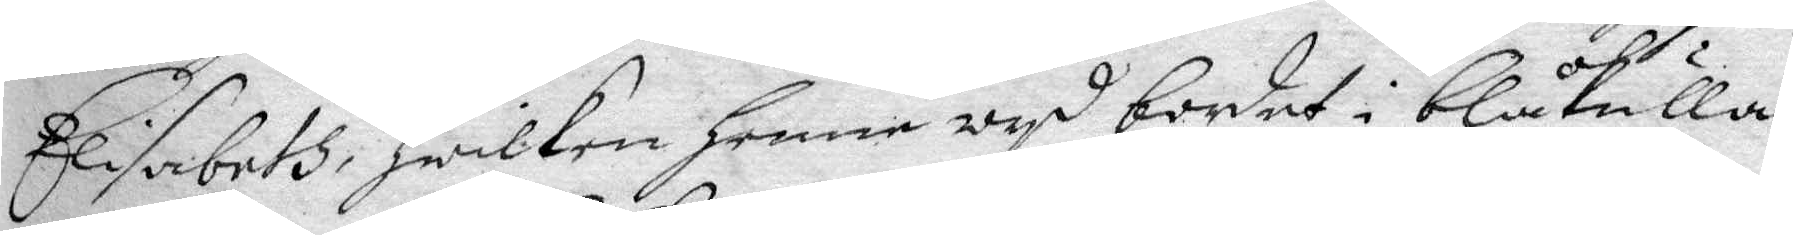Elisabeth, hwilken henne wyd bordet i blåkulla
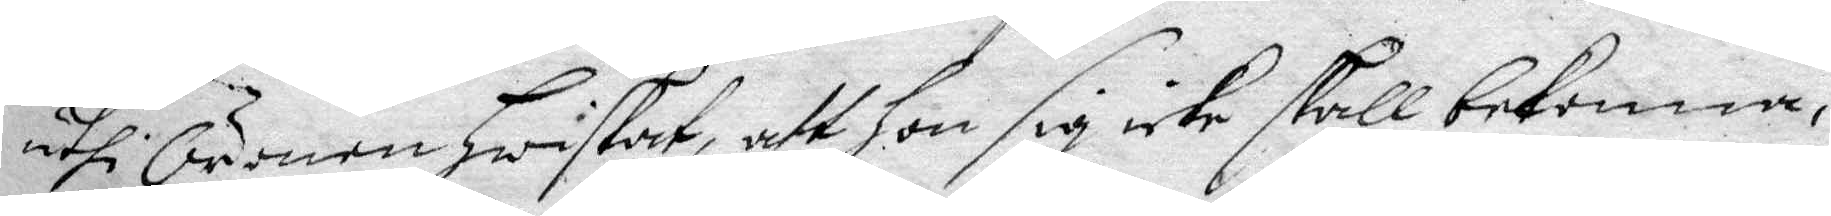uthi Öronen Hwiskat, att hon sig icke skall bekenna,
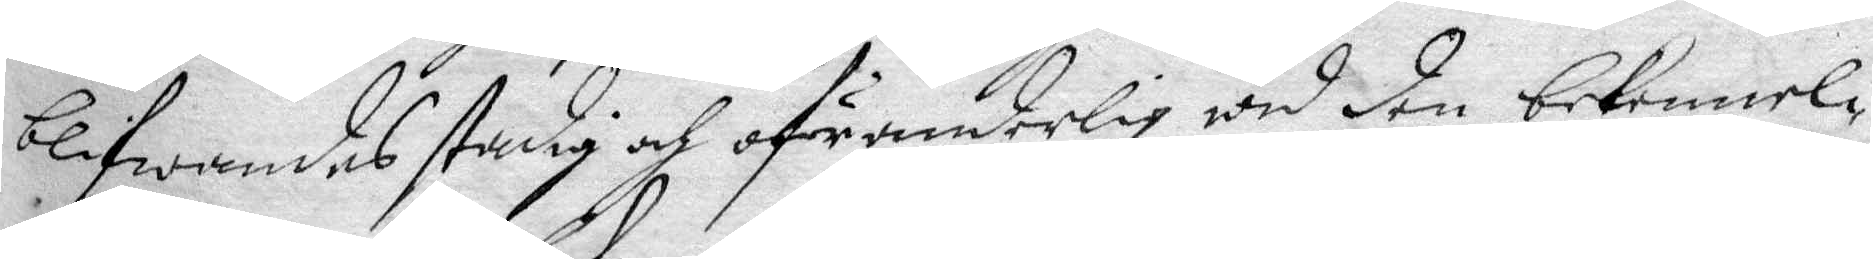blifwandes stadig och oföranderlig wid den bekennel¬
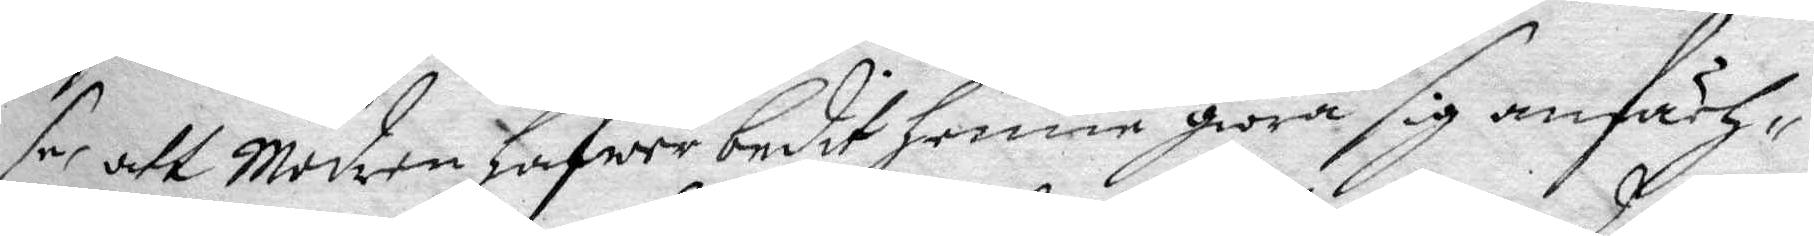så att Modren hafwer bedit henne giöra sig anfäch¬
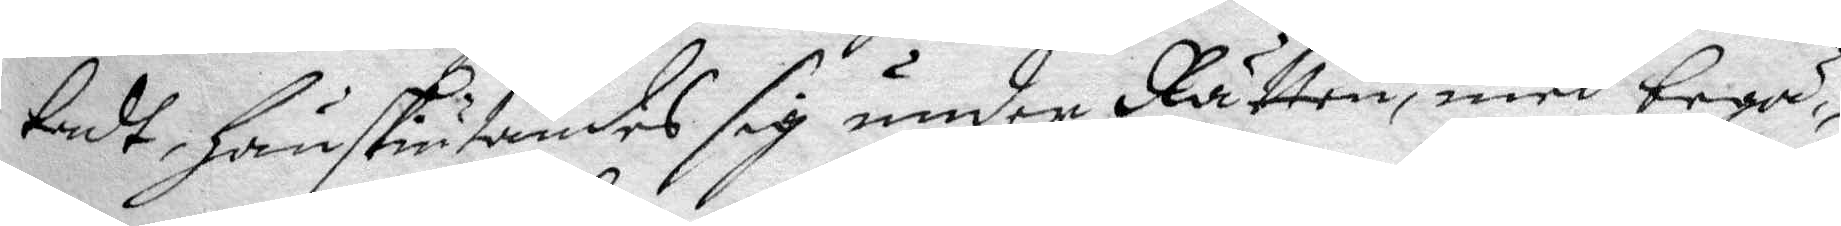tadt, Hänskiutandes sig under Rätten, med begä¬
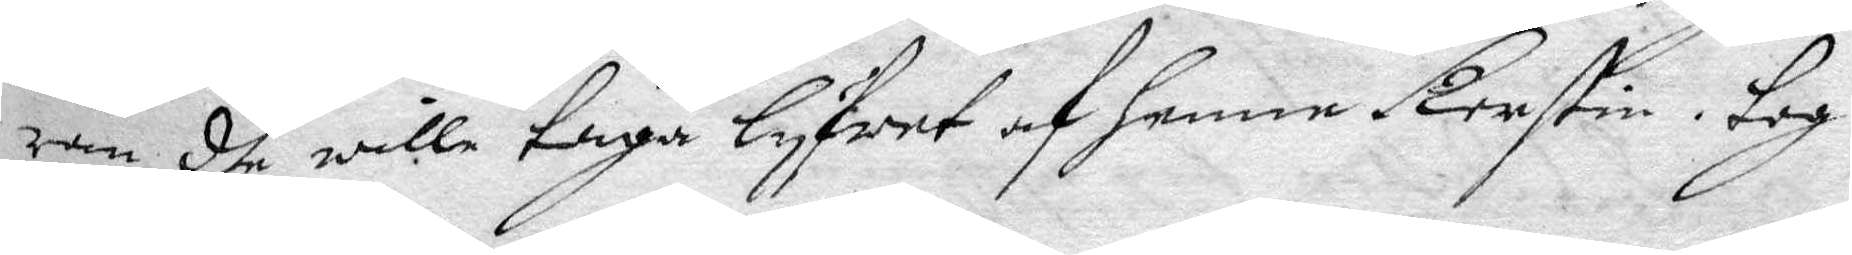ran dhe wille taga lyfwet af henne Kerstin. tog
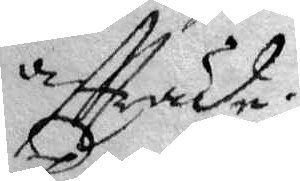aftträde.
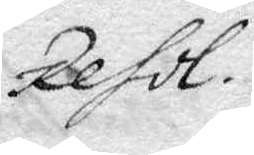Resol.
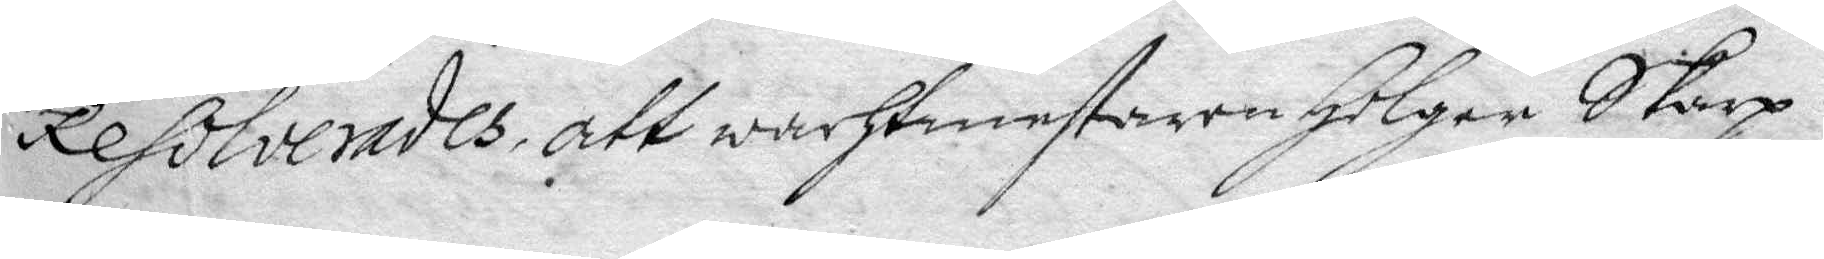Resolverades, att wachtmestaren Holger Skarp
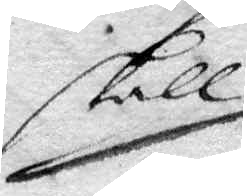skall
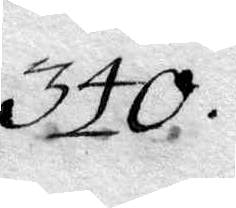340.
